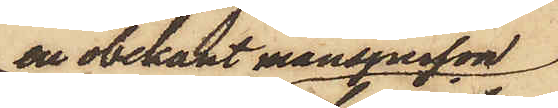en obekant mansperson
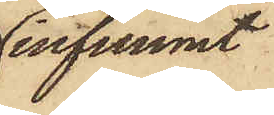infunnit
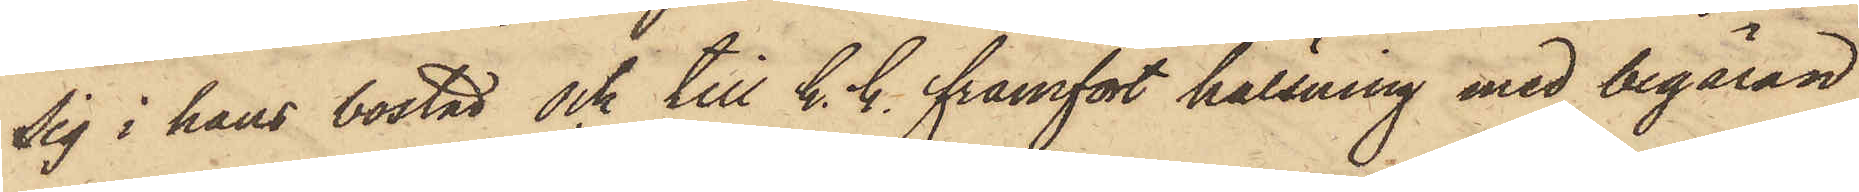sig i hans bostad och till h. h. framfört hälsning med begäran
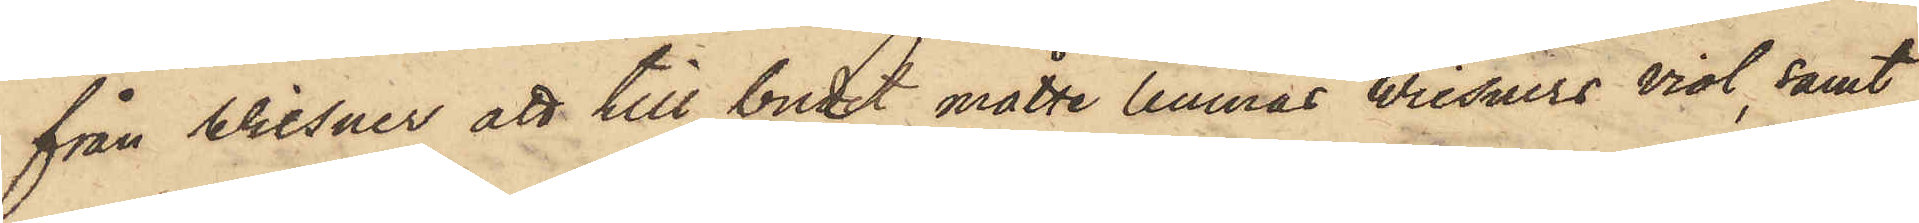från Wiesner att till budet måtte lemnas Wisners viol, samt
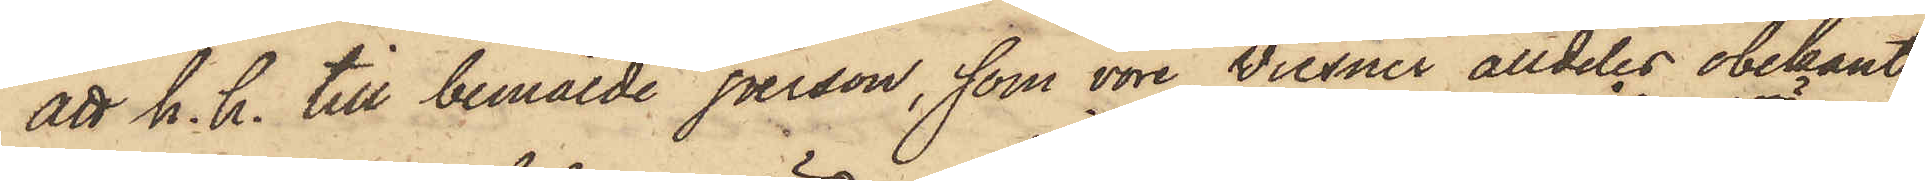att h. h. till bemälde person, som vore Wiesner alldeles obekant
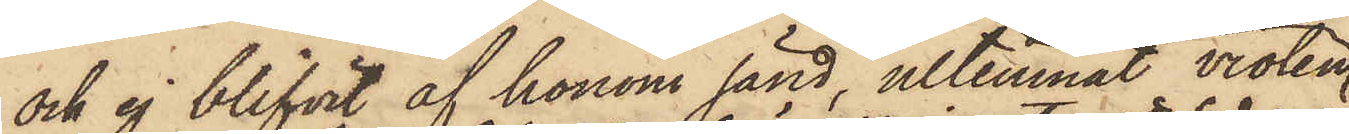och ej blifvit af honom sänd, utlemnat violen
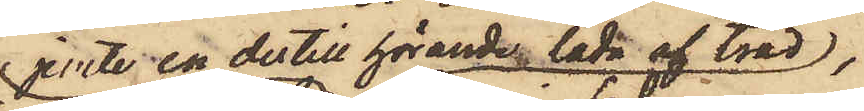jemte en dertill hörande låda af träd,
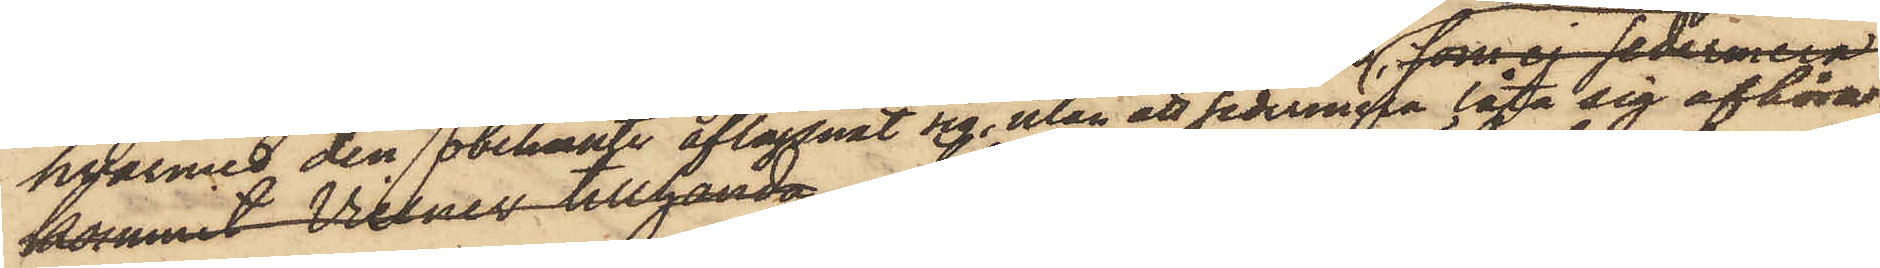hvarmed den  obekante aflägsnat sig, utan att sedermera låta sig afhöra;
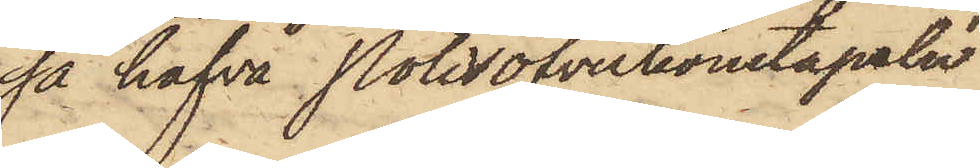så hafva Polisöfverkonstapeln
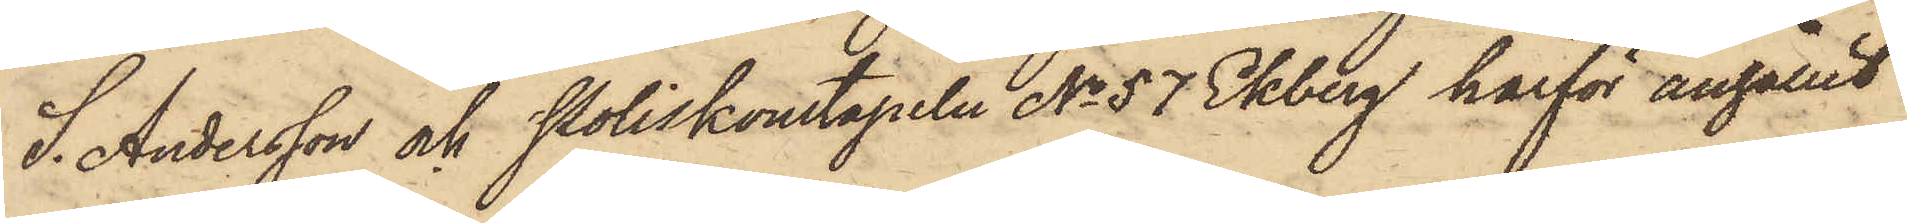S. Andersson och Poliskonstapeln No 57 Ekberg härför anhållit
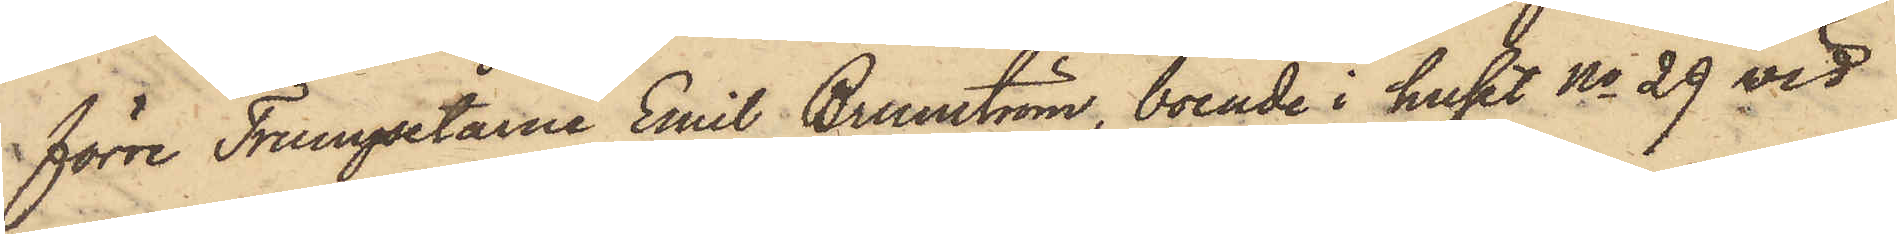förre Trumpetarne Emil Brunström, boende i huset No 29 vid
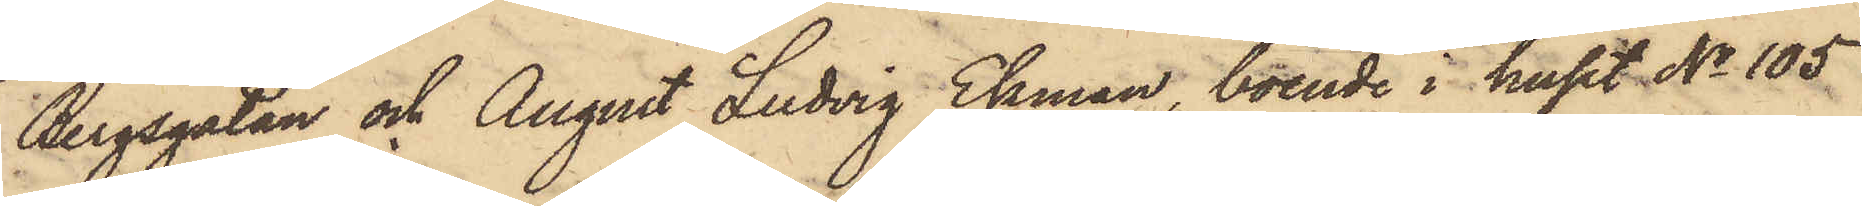Bergsgatan och August Ludvig Ekman, boende i huset No 105
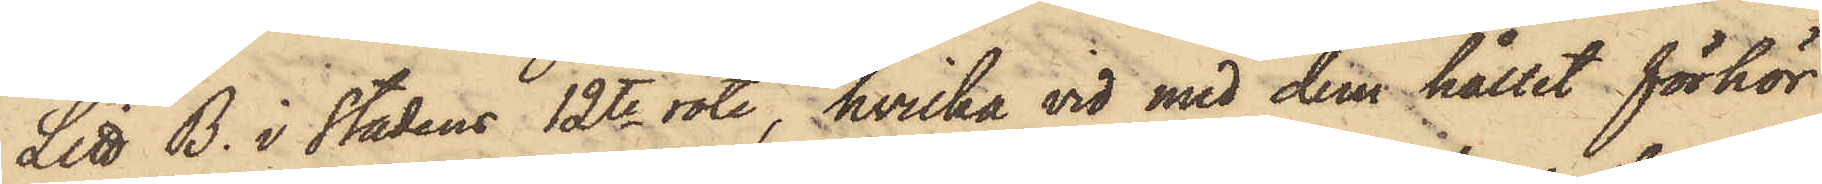Litt B. i stadens 12te rote, hvilka vid med dem hållit förhör
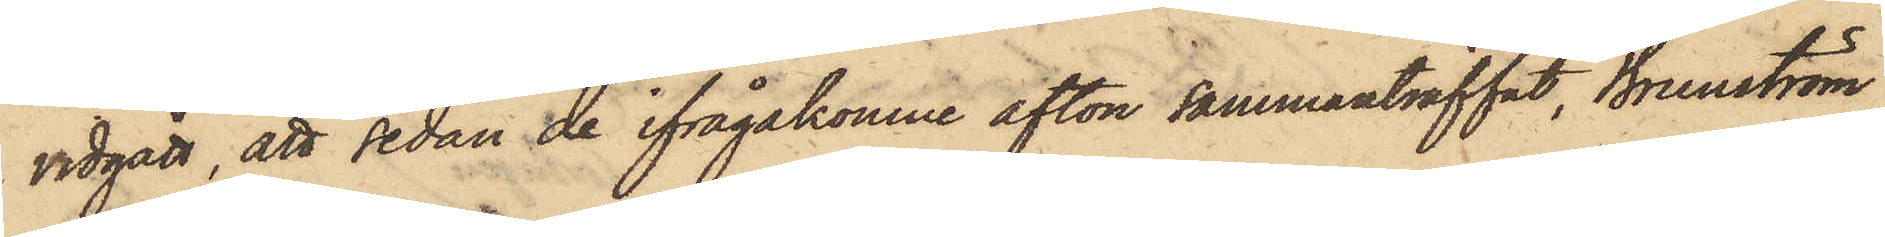vidgått, att sedan de ifrågakomne afton sammanträffat, Brunström
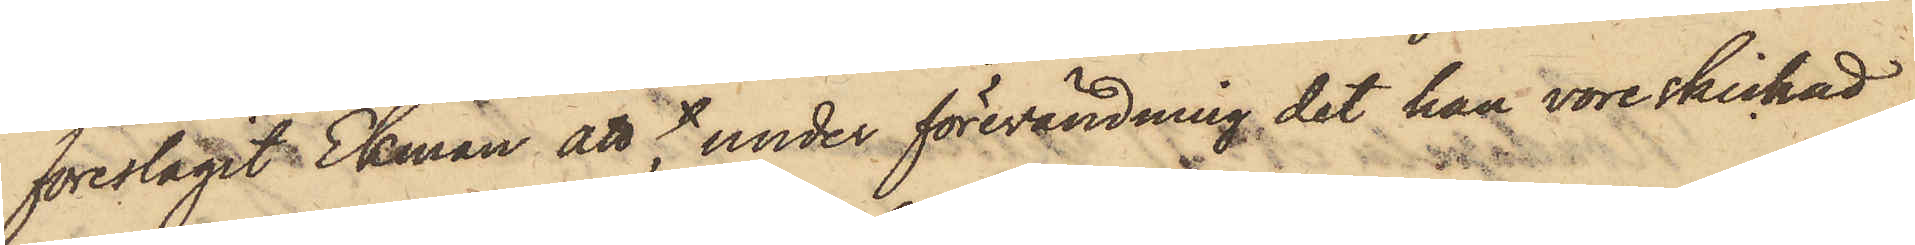föreslagit Ekman att, under förevändning det han vore skickad
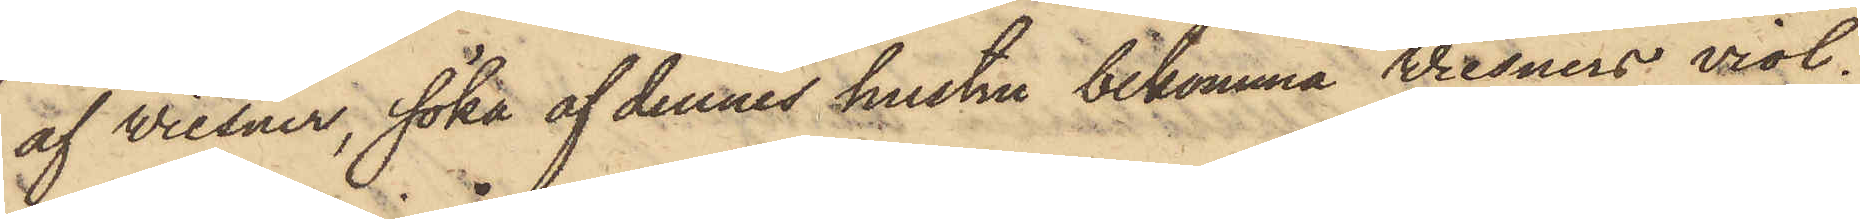af Wiesner, söka af dennes hustru bekomma Wiesners viol;
